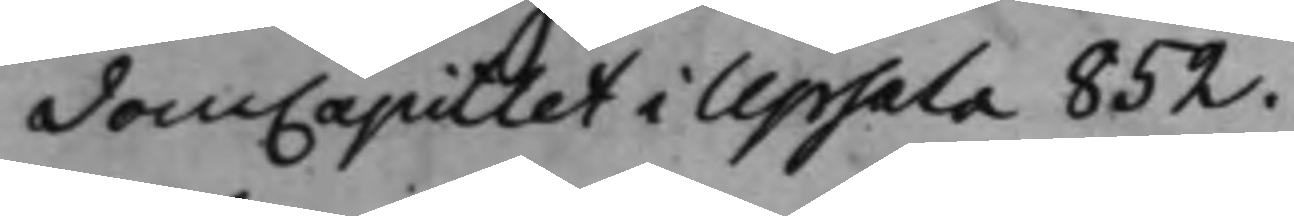DomCapitlet i Upsala 852.
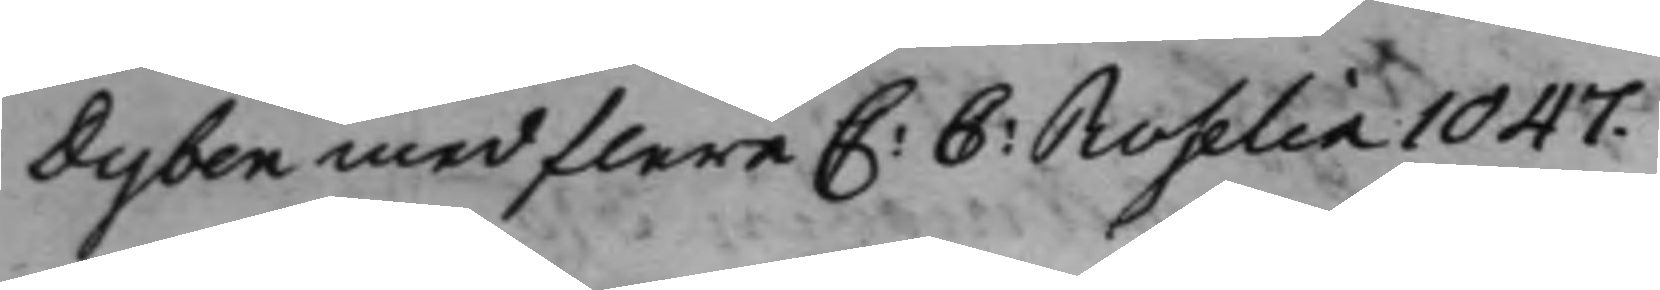Dyben med flere C: C: Roselia 1047.
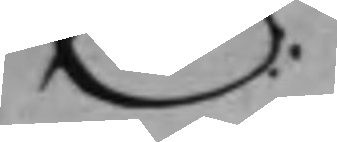E:
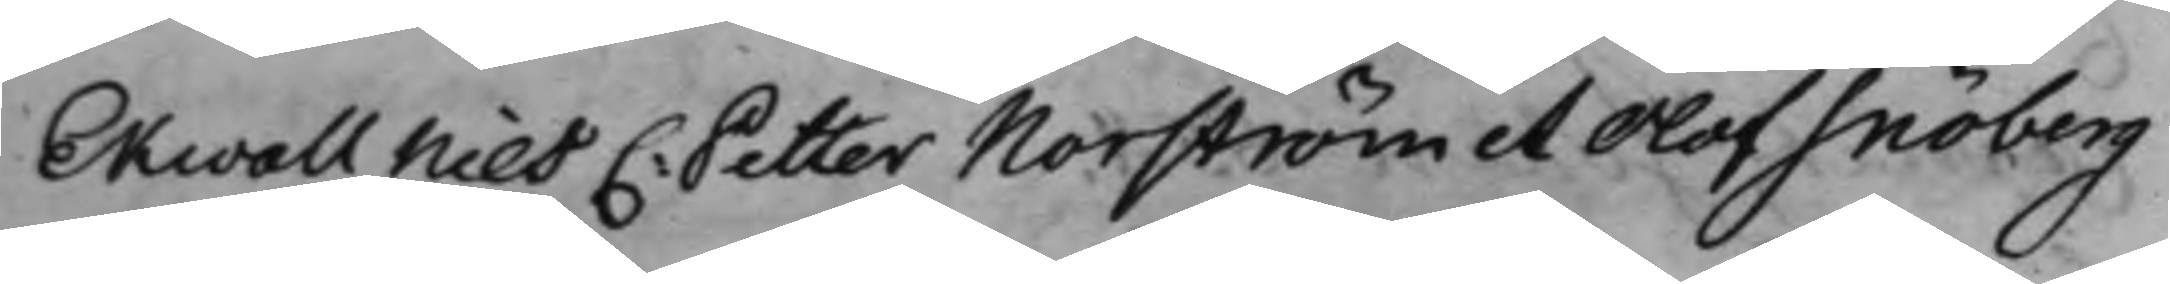Ekwall Nils C: Petter Norström et Olof Snöberg
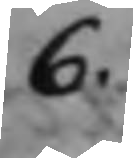6.
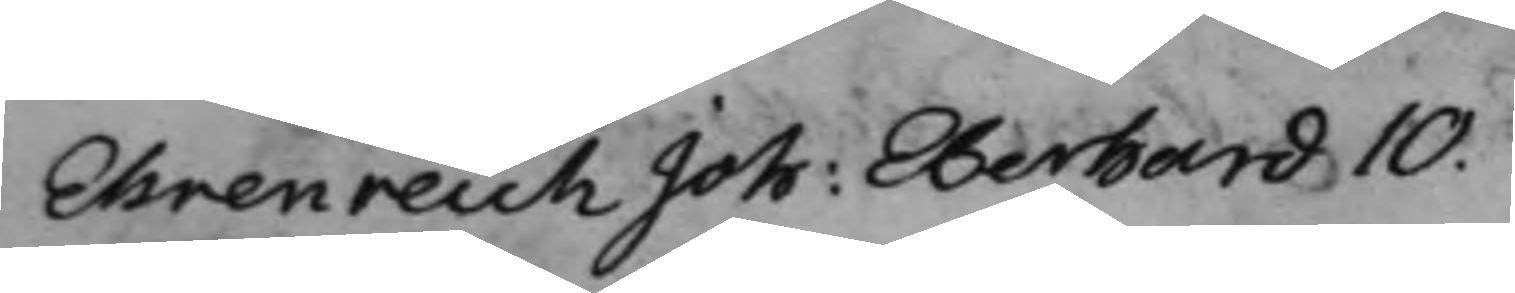Ehrenreich Joh: Eberhard 10.
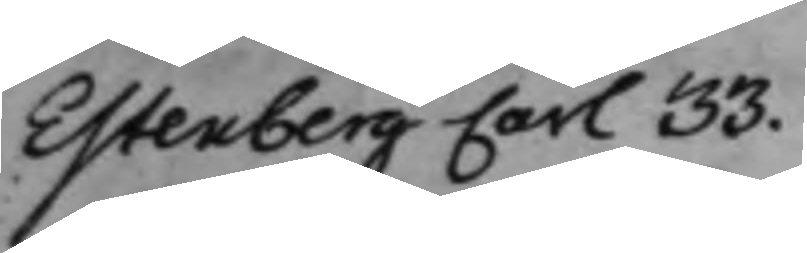Estenberg Carl 33.
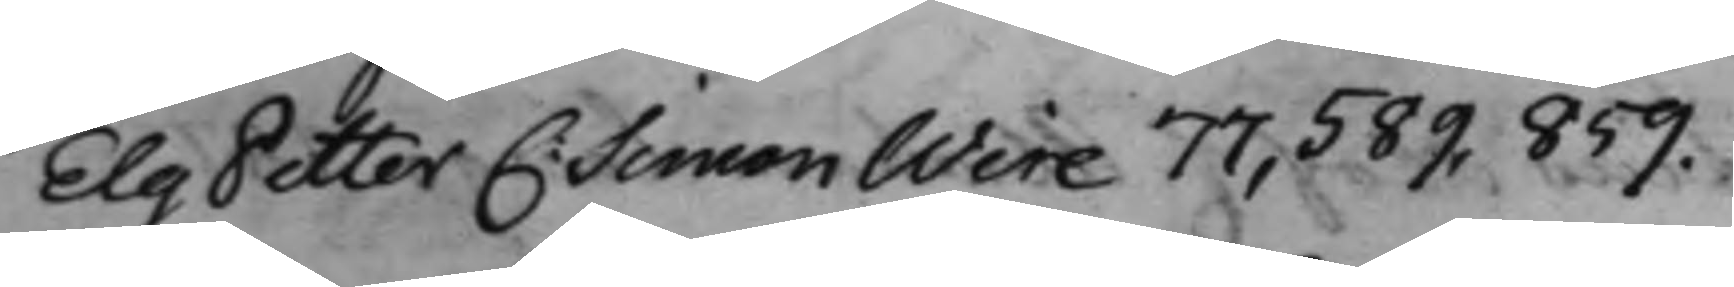Elg Petter C: Simon Wire 77, 589, 859.
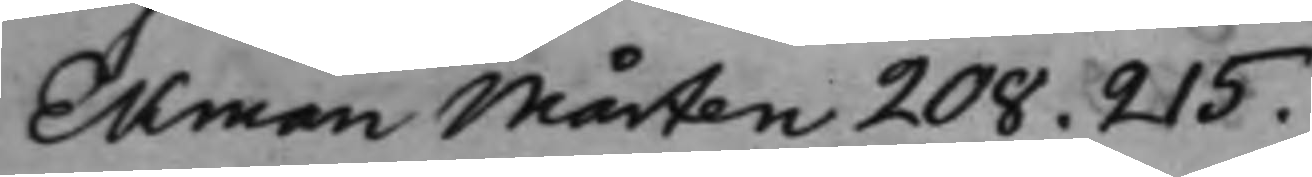Ekman Mårten 208. 215.
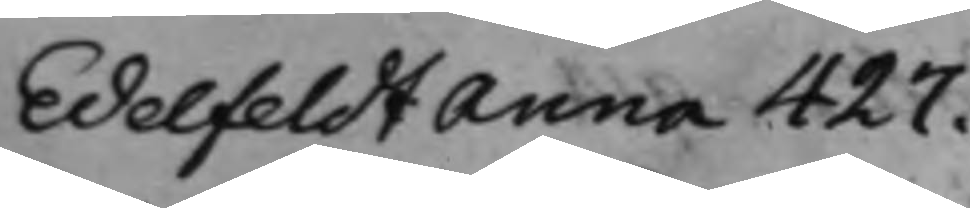Edelfeldt Anna 427.
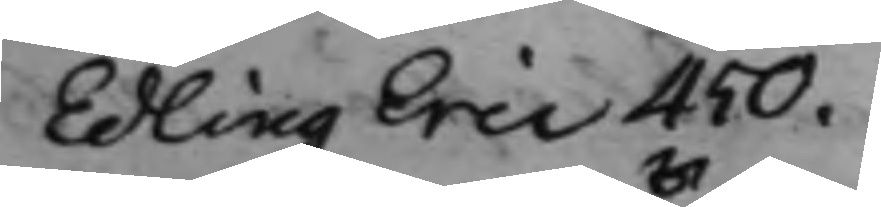Edling Eric 450.
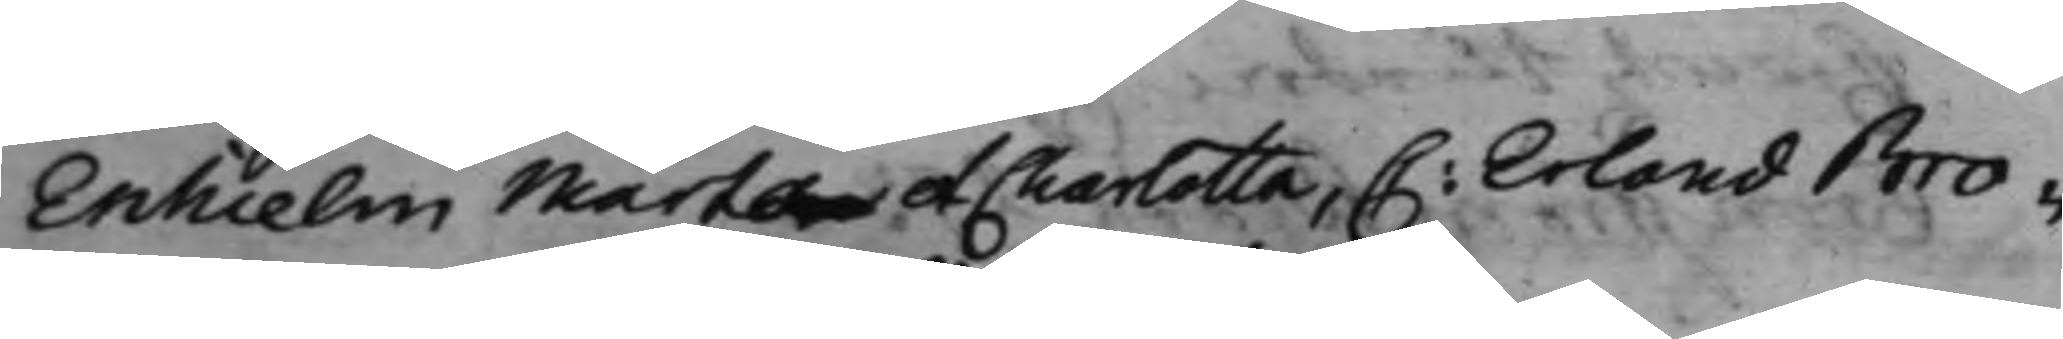Enhielm Märtan et Charlotta, C: Erland Bro¬
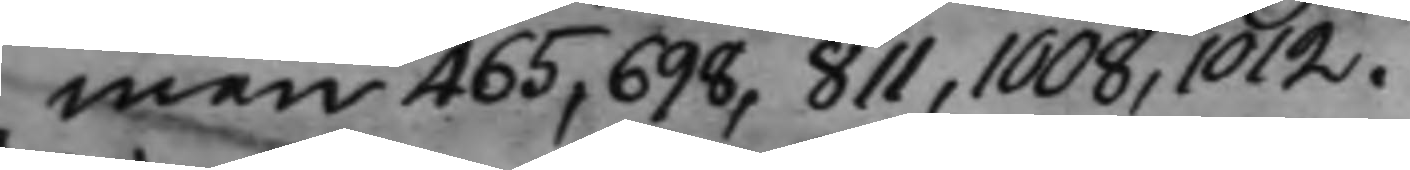man 465, 698, 811, 1008, 1012.
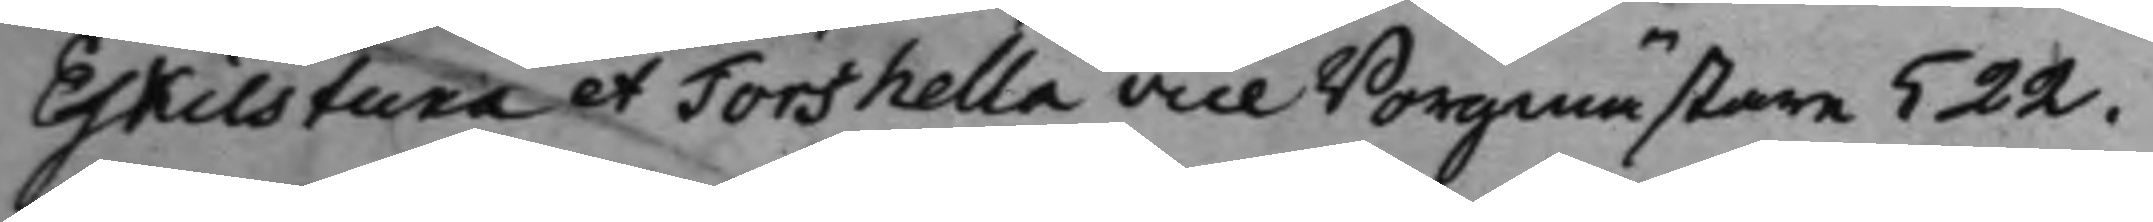Eskilstuna et Torshella Vice Borgmästare 522.
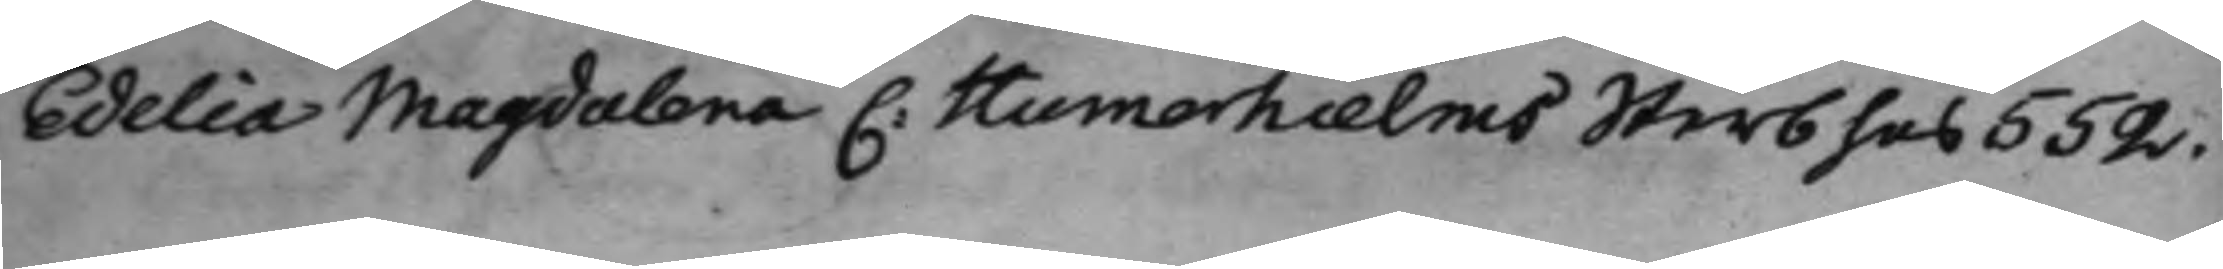Edelia Magdalena C: Humerhielms Sterbhus 552.
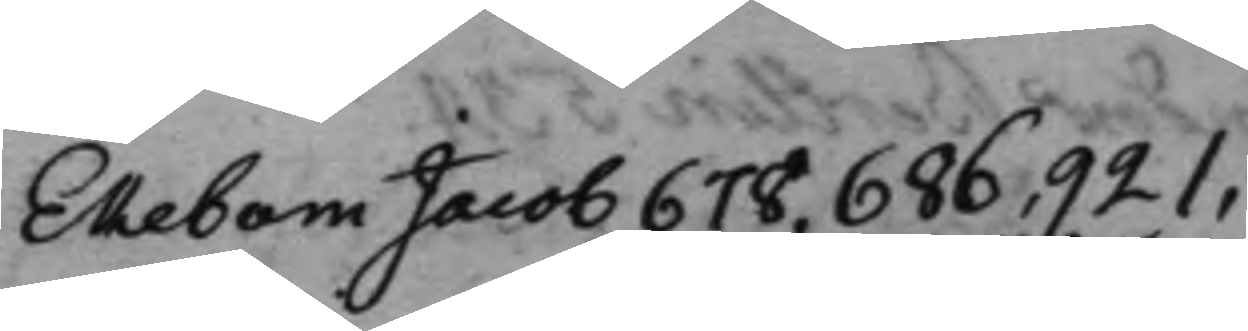Ekebom Jacob 678, 686, 921,
